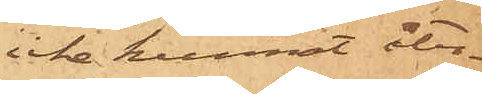icke kunnat åter¬
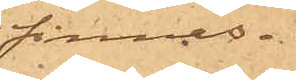finnas.
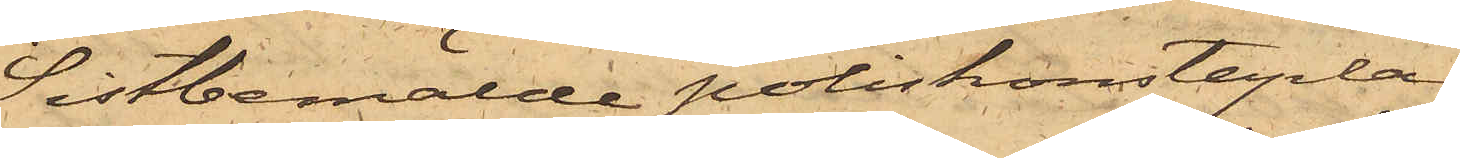Sistbemälde poliskonstaplar
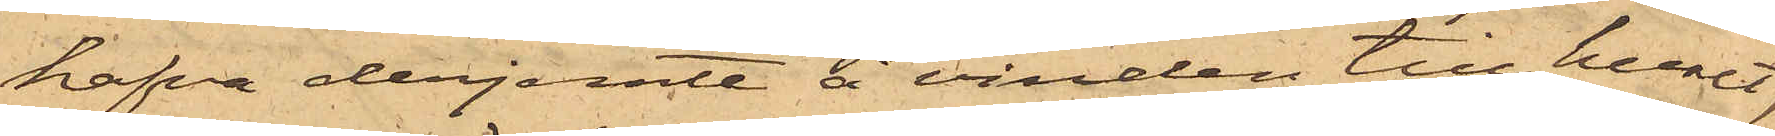hafva derjemte å vinden till huset
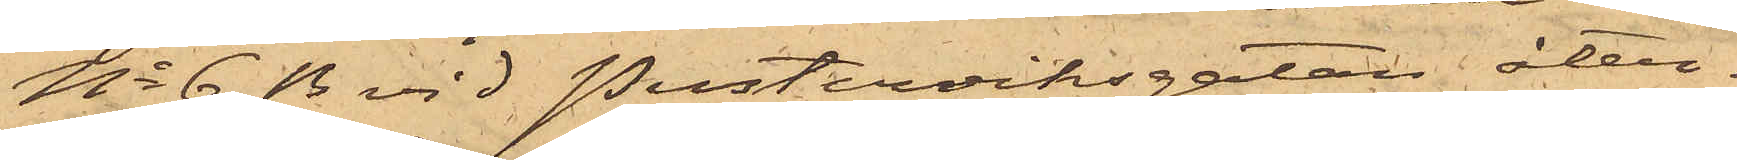No 6 B vid Pusterviksgatan åter¬
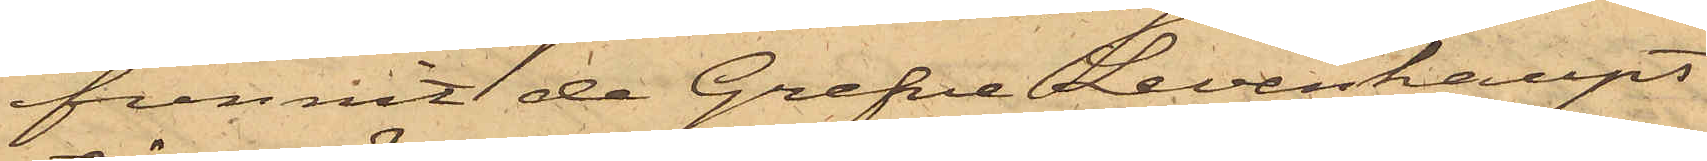funnit de Grefve Levenhaupt
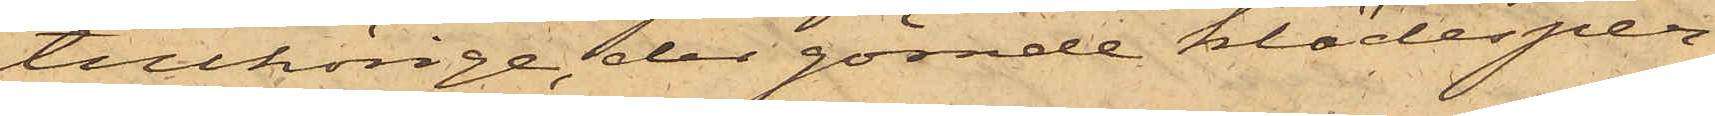tillhörige, der gömde klädesper¬
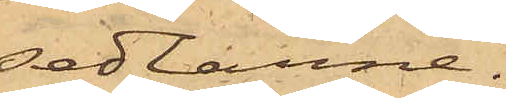sedlarne.
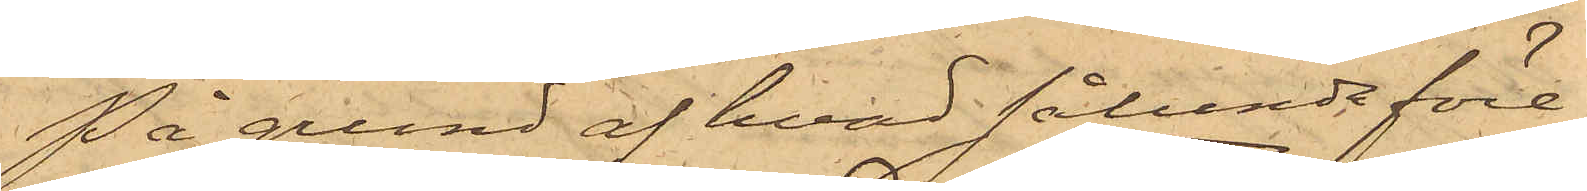På grund af hvad sålunda före¬
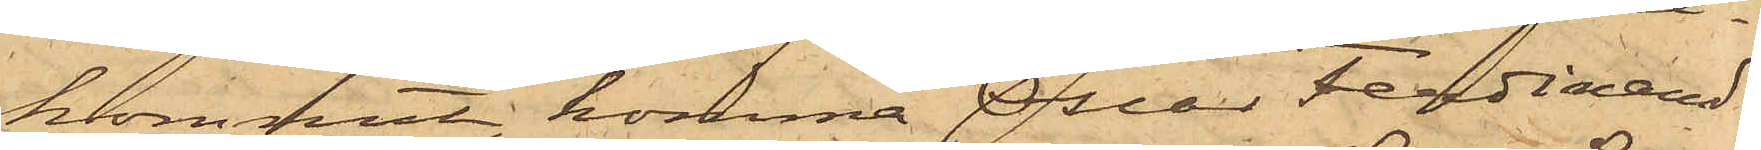kommit, komma Oscar Ferdinand
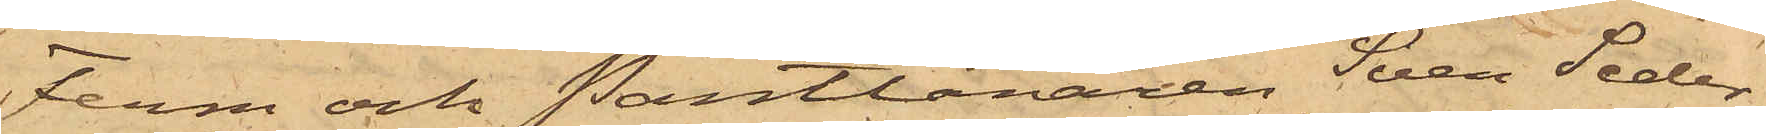Ferm och Pantlånaren Sven Seder¬
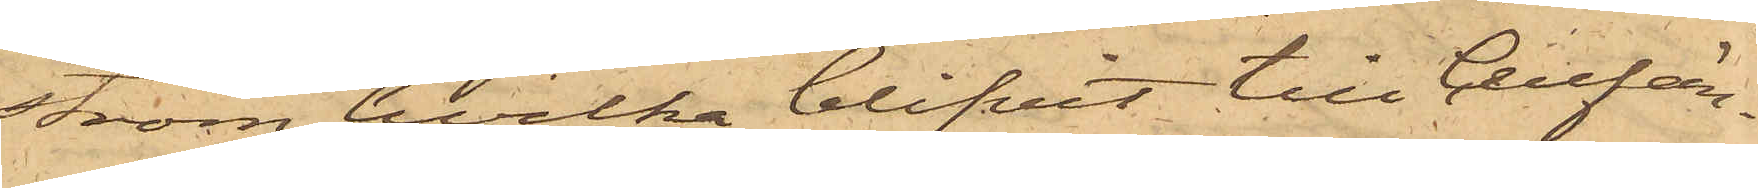ström hvilka blifvit till Cellfän¬
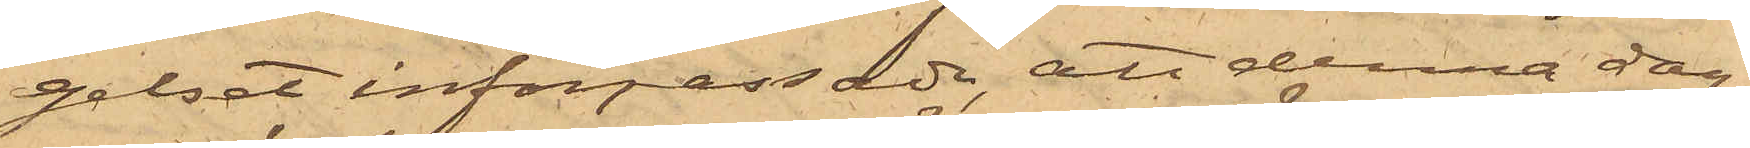gelset införpassade, att denna dag
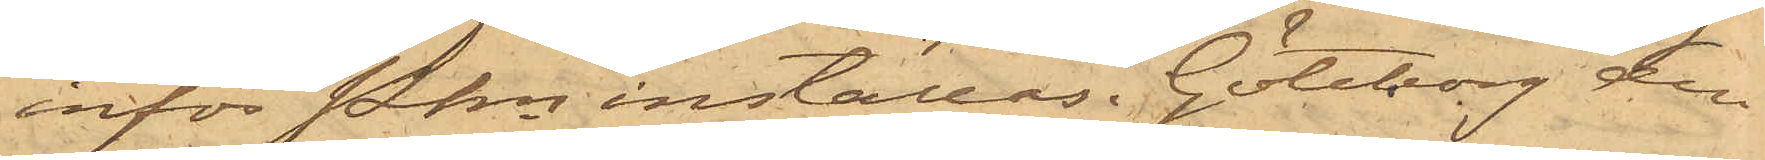inför Pkn inställas. Göteborg den
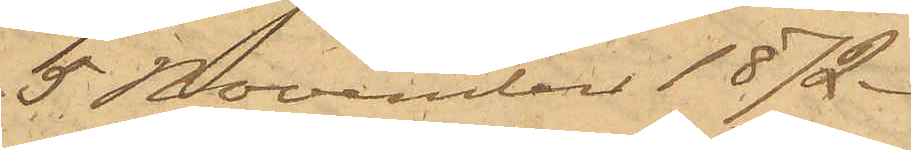5 November 1872.
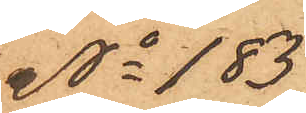No 183
